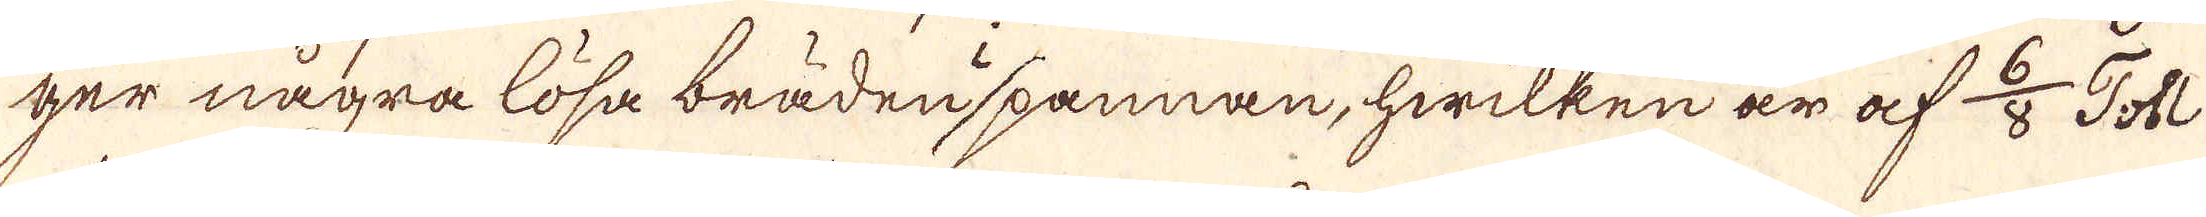ger några lösa bräden spannan, hwilken är af 6/8 Tobl
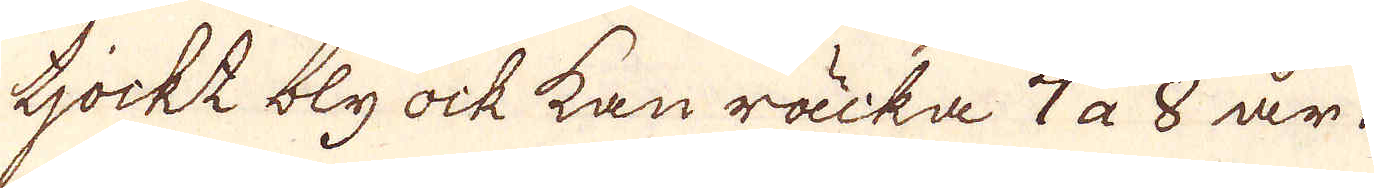tjockt bly ock kan räcka 7 a 8 år.
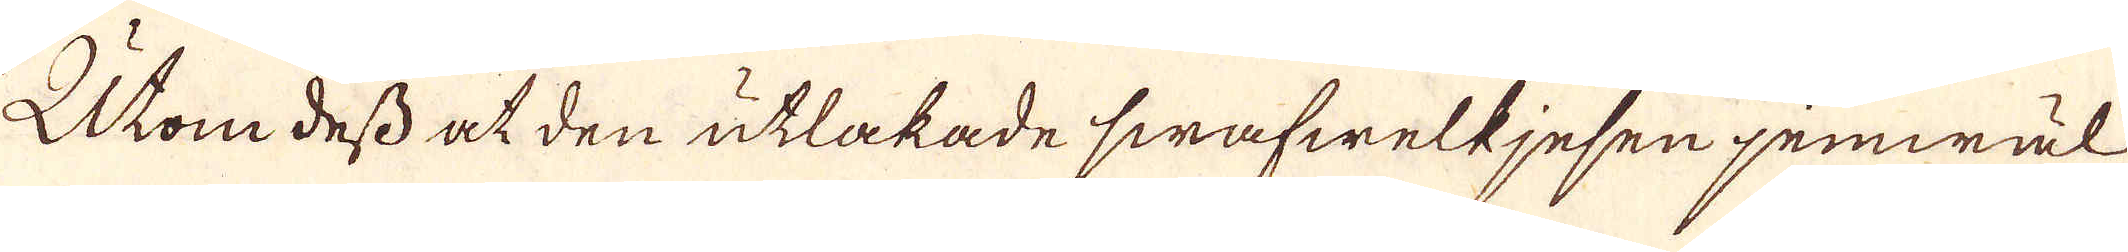Utom dess at den utlakade swafwelkjesen jemwäl
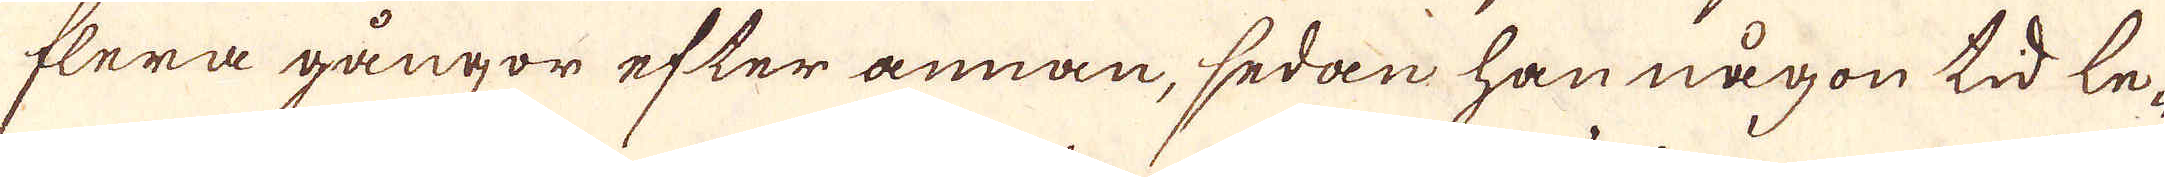flera gångor efter annan, sedan han någon tid le-
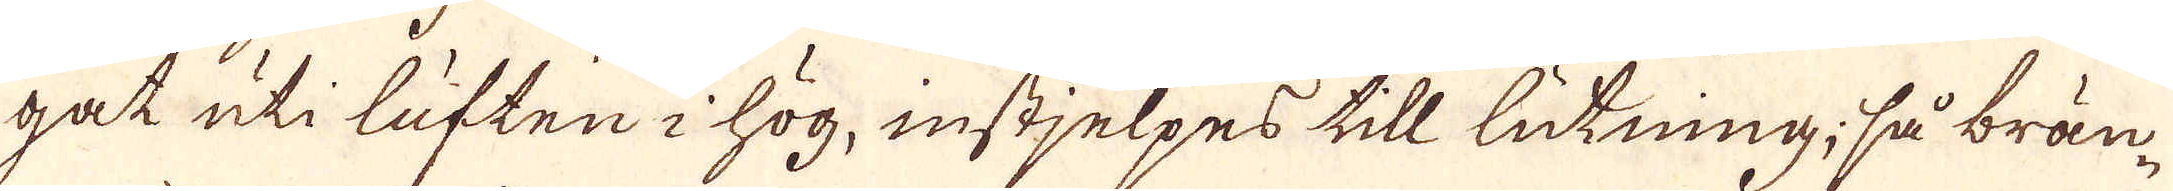gat uti luften i hög, instjelpes till lutning, så brän-
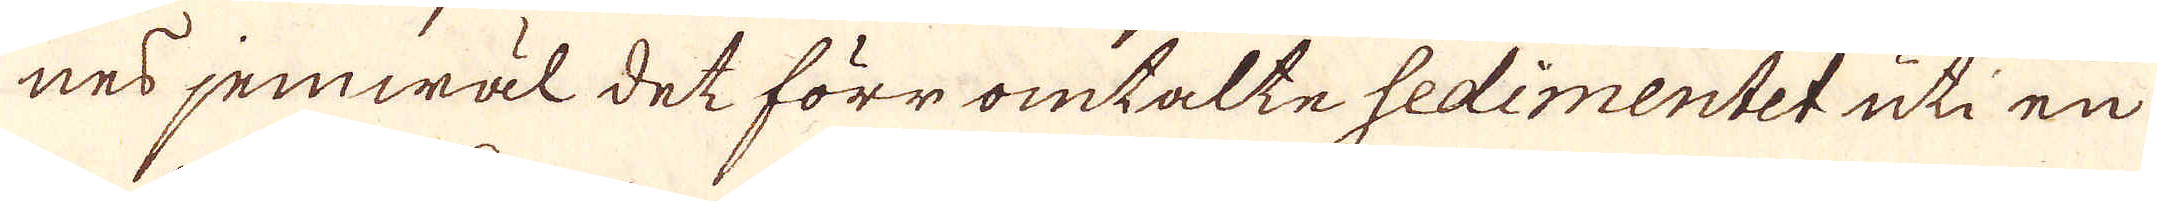nes jemwäl det förr omtalte sedimentet uti en
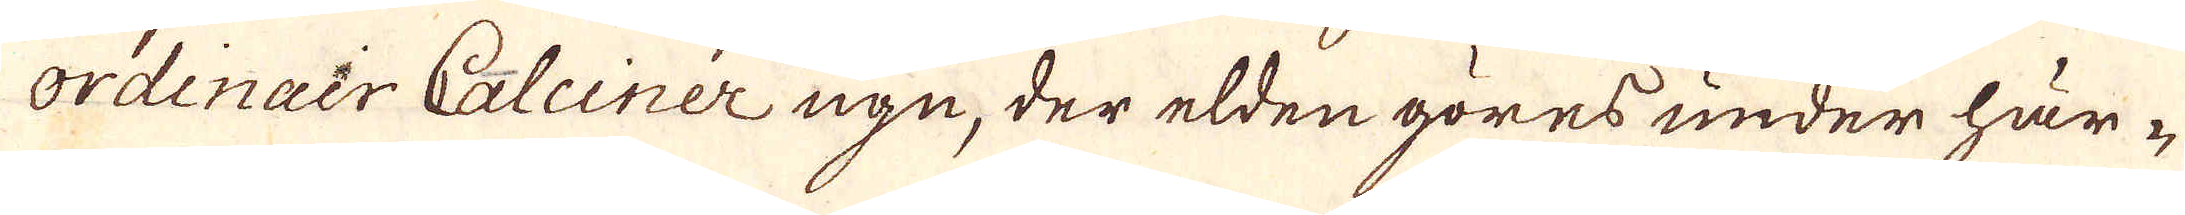ordinair Calciner ugn, der elden göres under här-
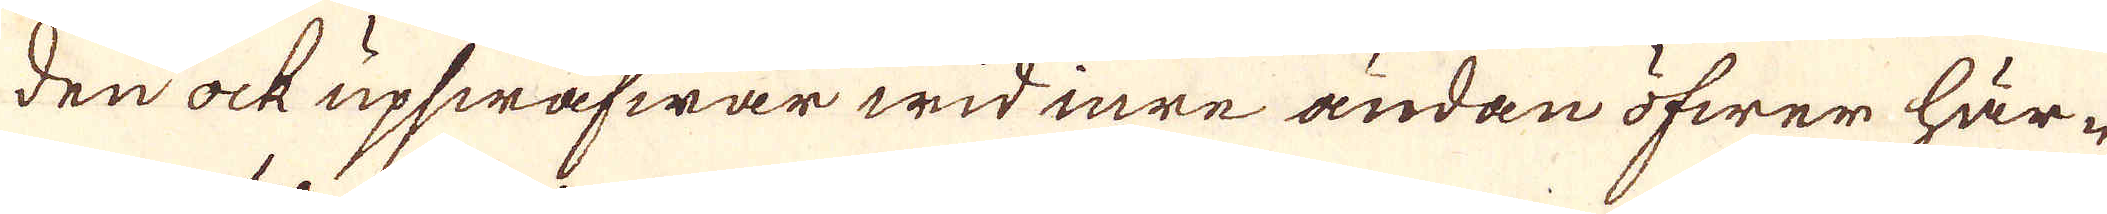den ock upswäfwar wid inre ändan öfwer här-
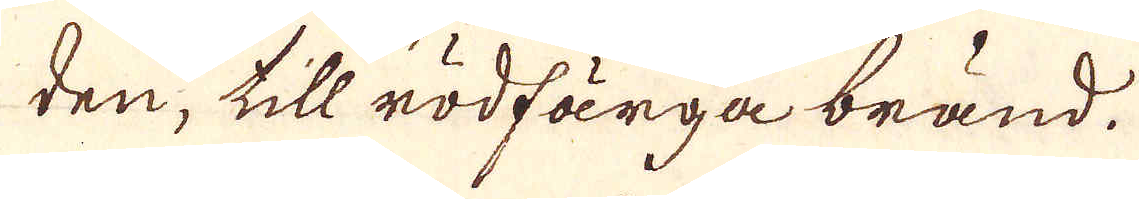den, till rödfärga bränd.
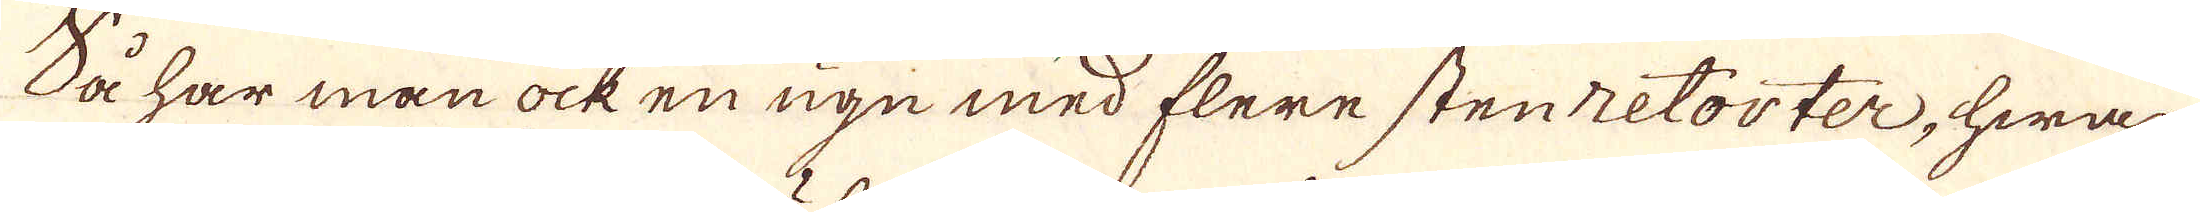Så har man ock en ugn med flere stenetorter, hwar-
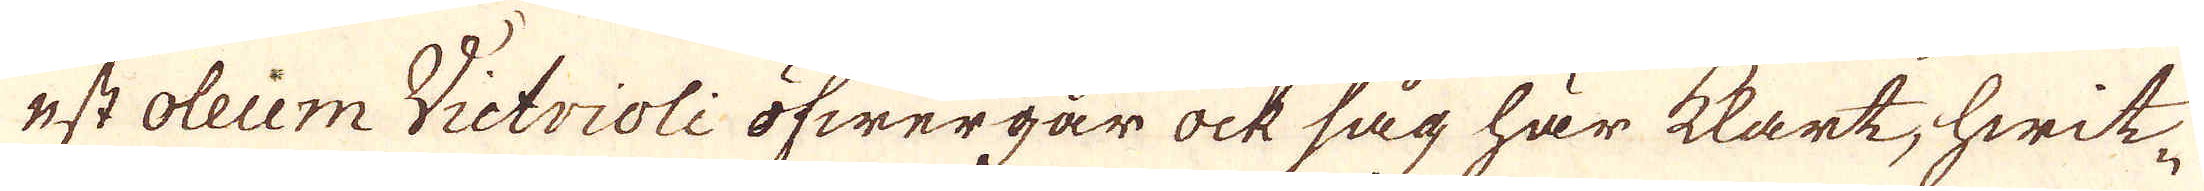stoleiem Victrioli öfwergår ock såg har kart, hwit-
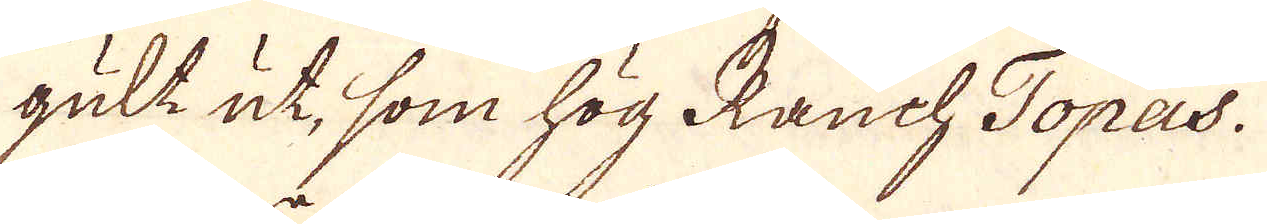gult ut, som hög Rauch Topas.
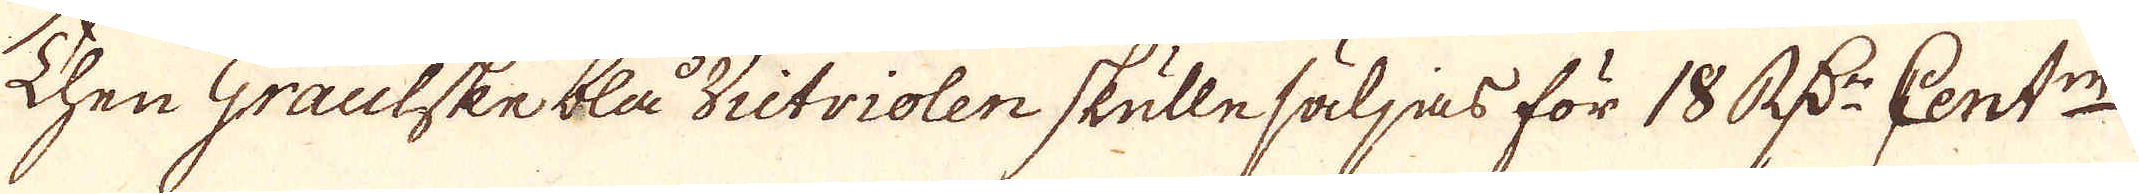Then Graulske blå Victriolen skulle säljas för 18 R:dr Cent:n
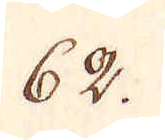62.
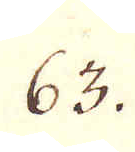63.
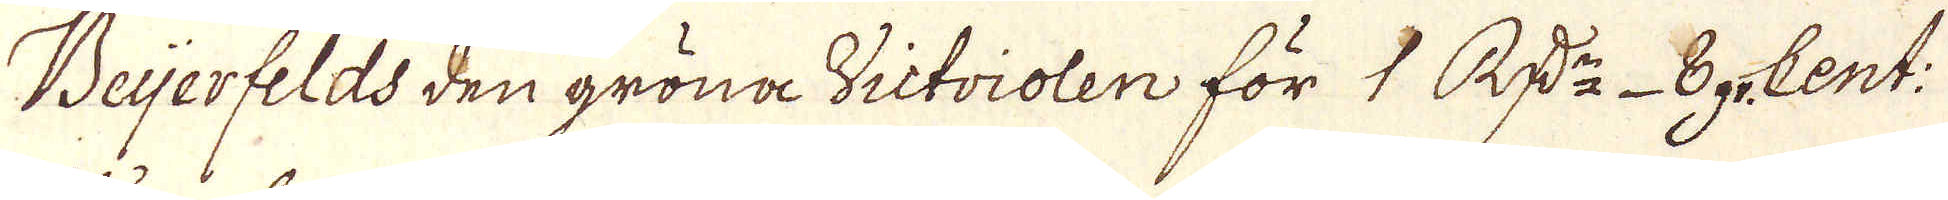Beijerfelds den gröna Victriolen för 1 R:dr 8 gr. Cent:
